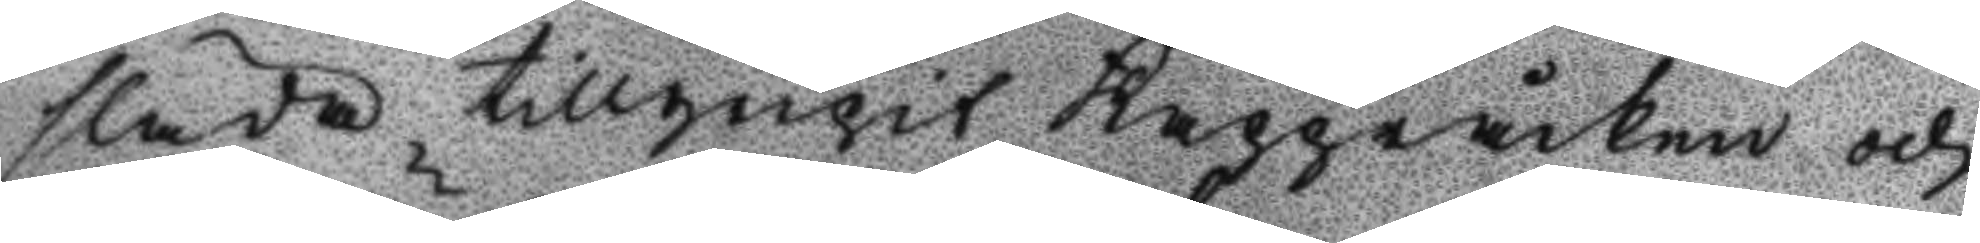släda tillgripit kapperåcken och
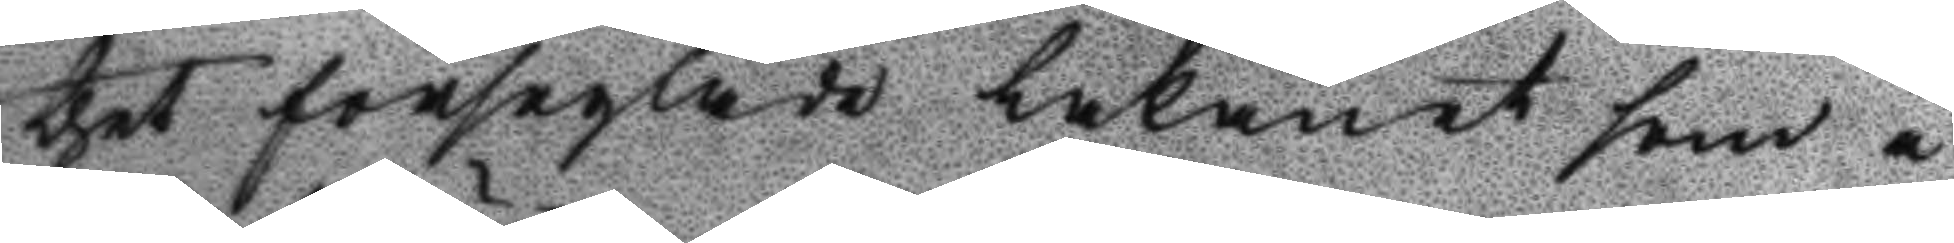thet förseglade Lakanet som i
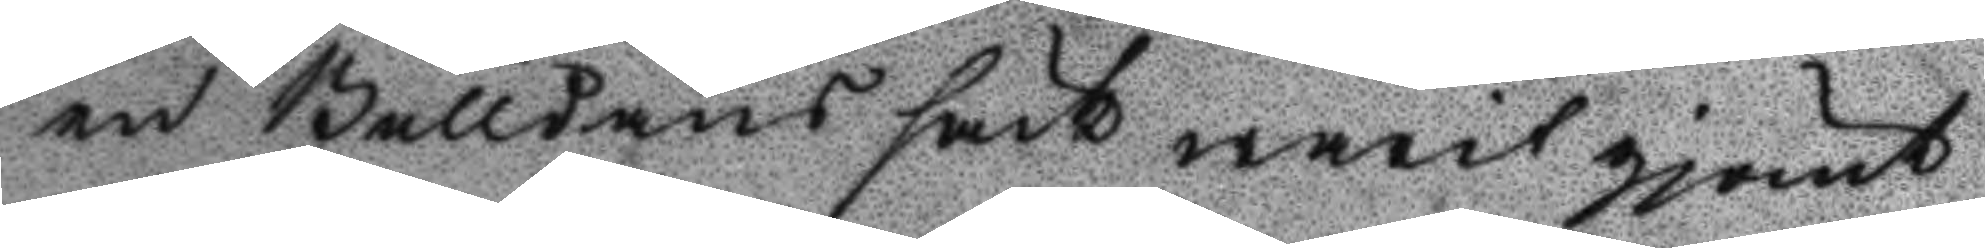en Bulldans säck warit gjömt,
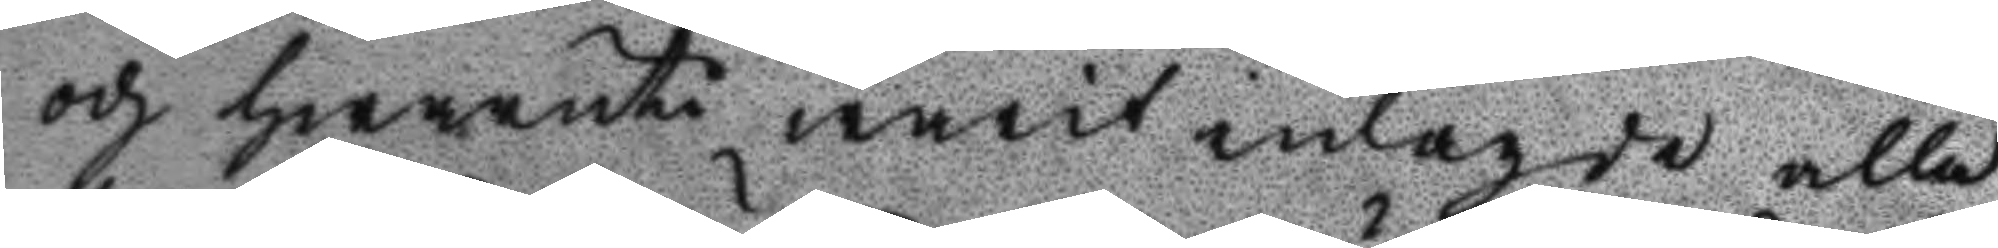och hwaruti warit inlagde alla
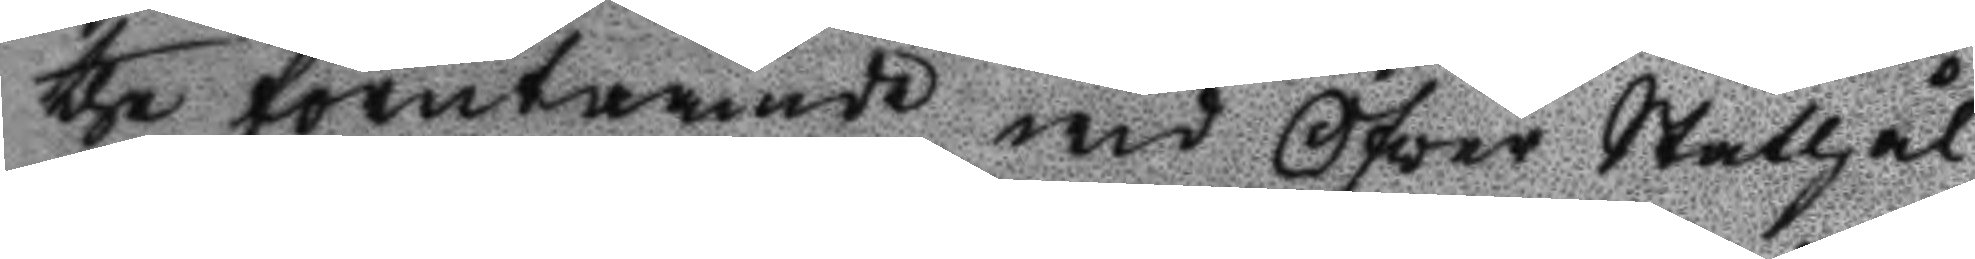the förutnämde wid Öfver Ståthål¬
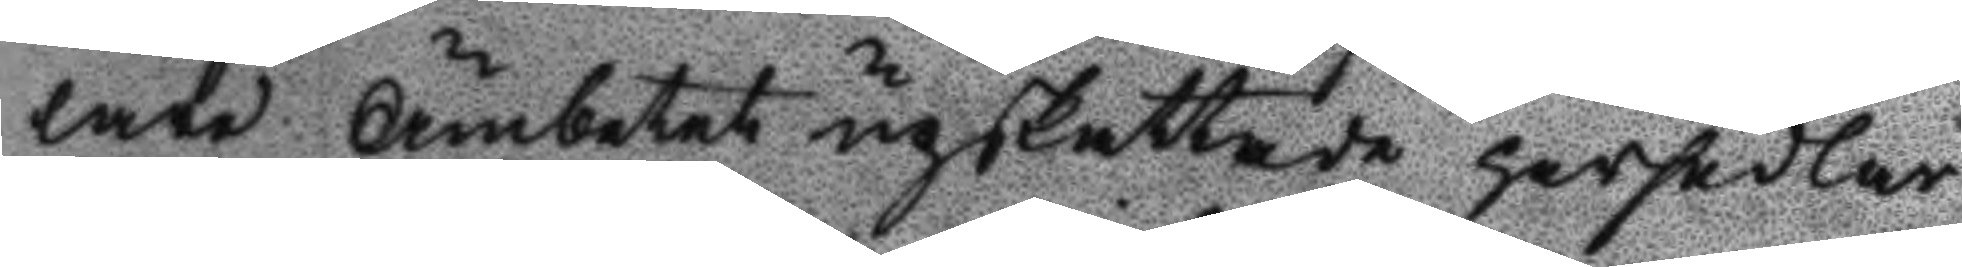lare Ämbetet upskattade persedlar
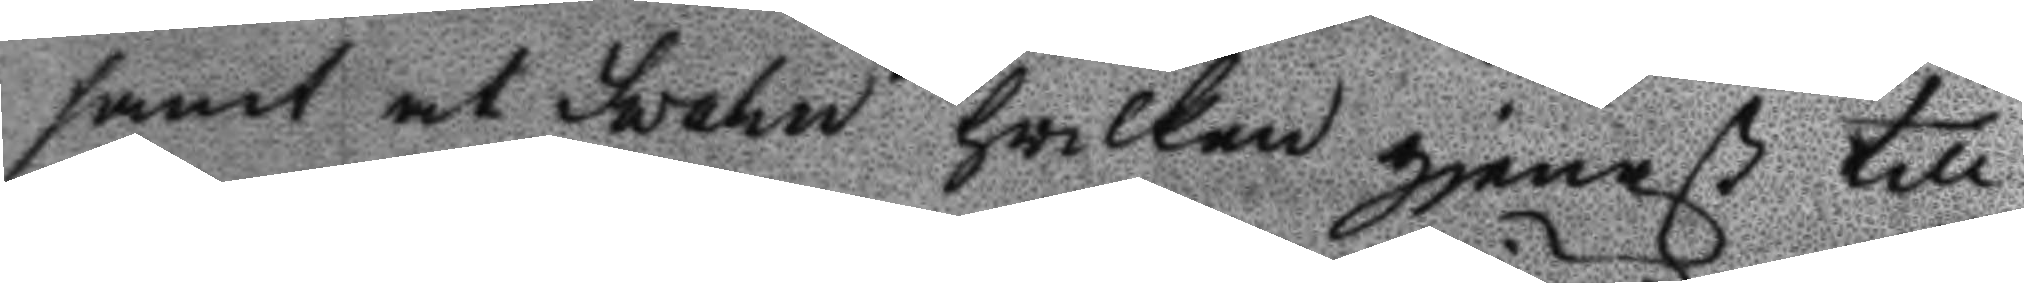samt at Svahn hwilken gjenast till
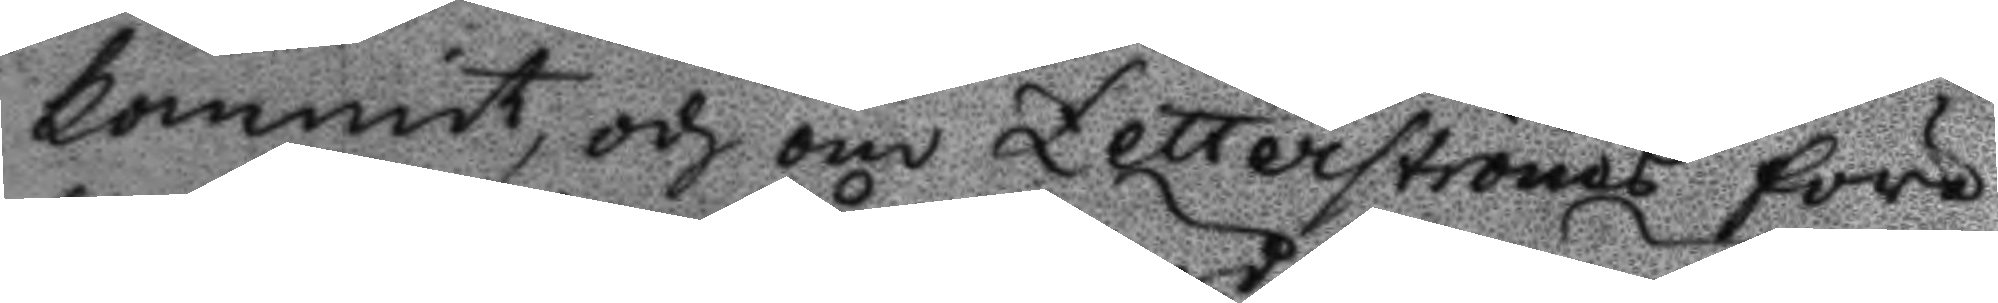kommit, och om Zetterströms före
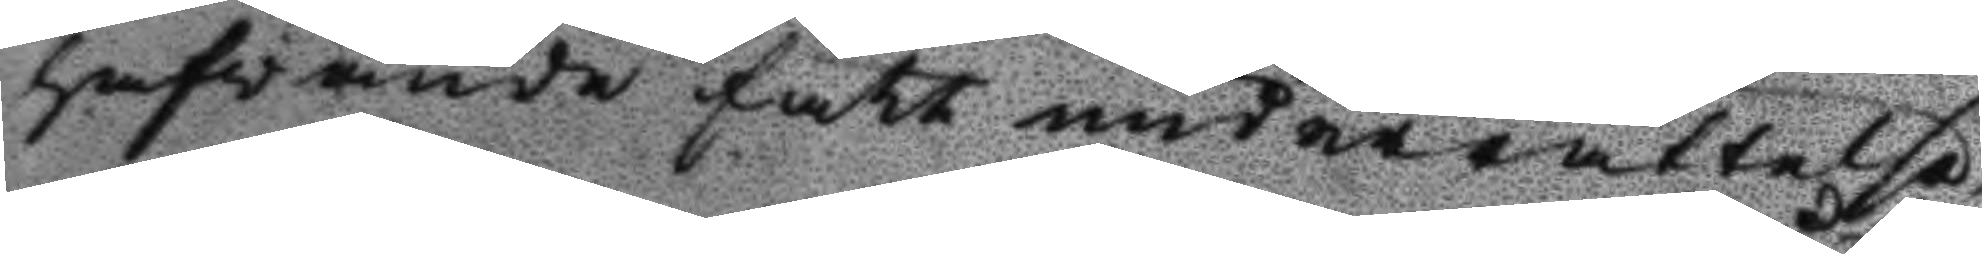hafvande fått underrättelse
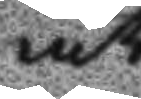at
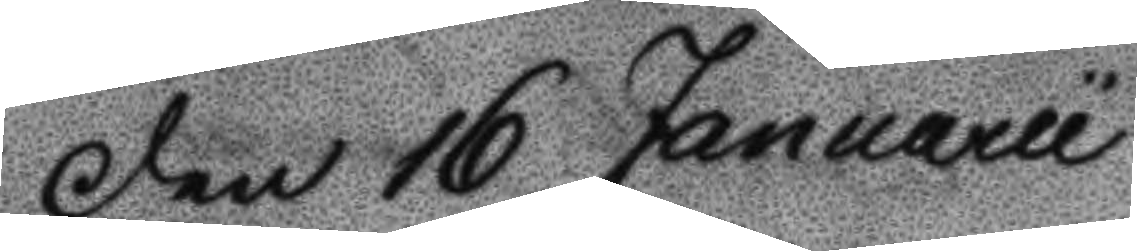Den 16 Januarii
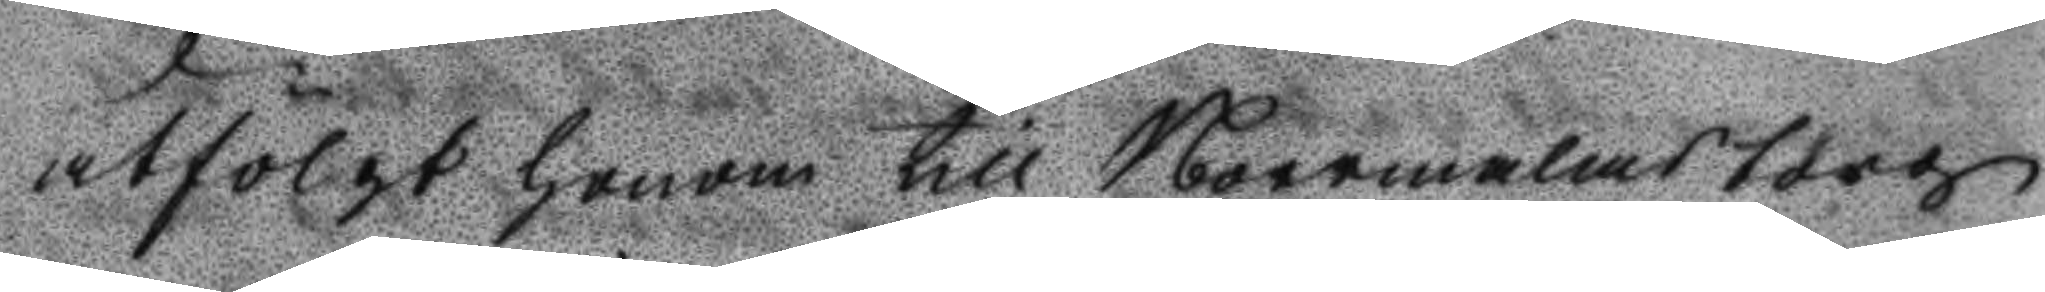utfölgt honom till Norrmalms torg
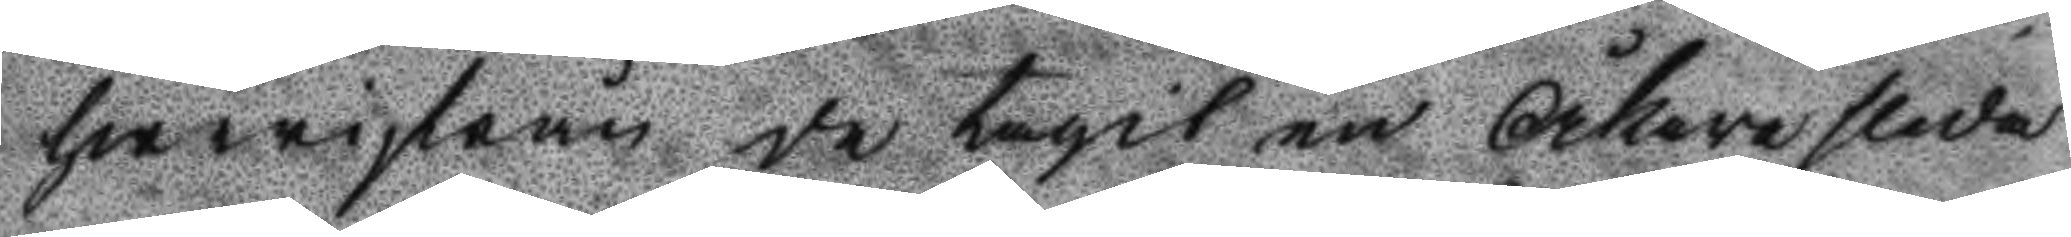hwarifrån de tagit en Åkaresleda
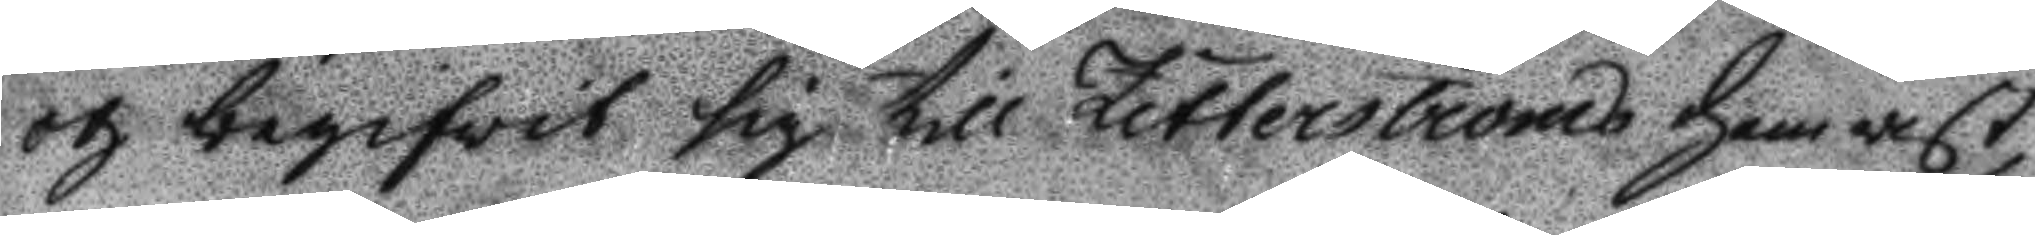och begifwit sig till Zetterströms hemvist,
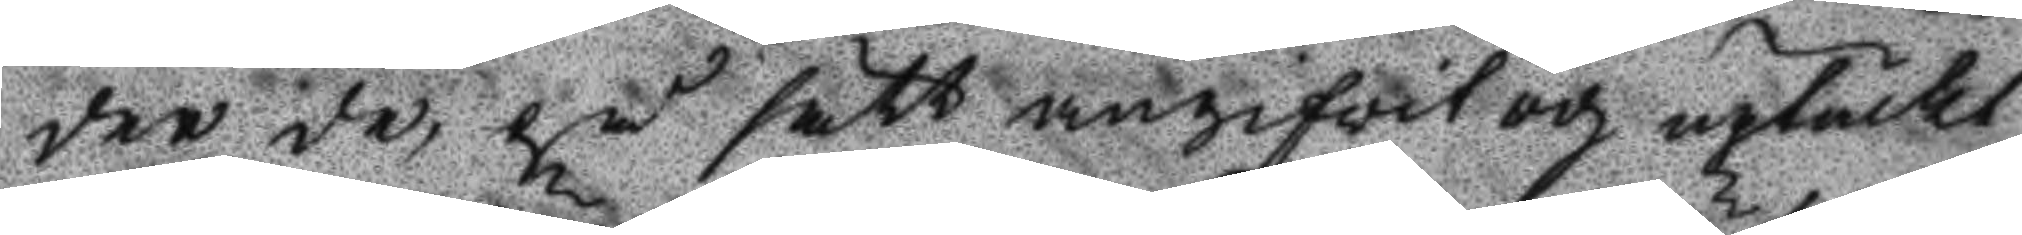der de på sätt angifvit och uptäckt
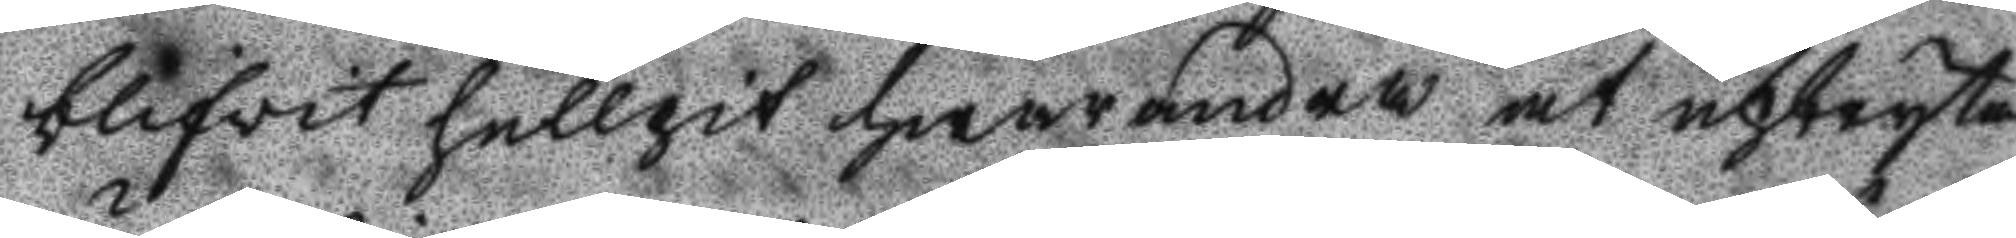blifwit hullpit hwarandra at upbryta
